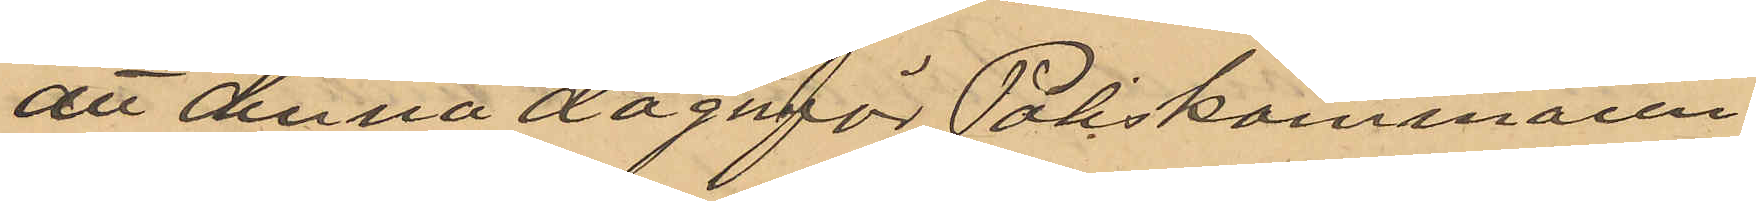att denna dag inför Poliskammaren
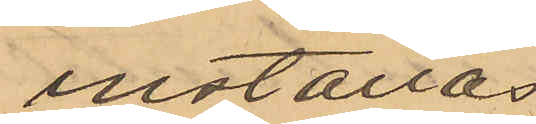inställas.
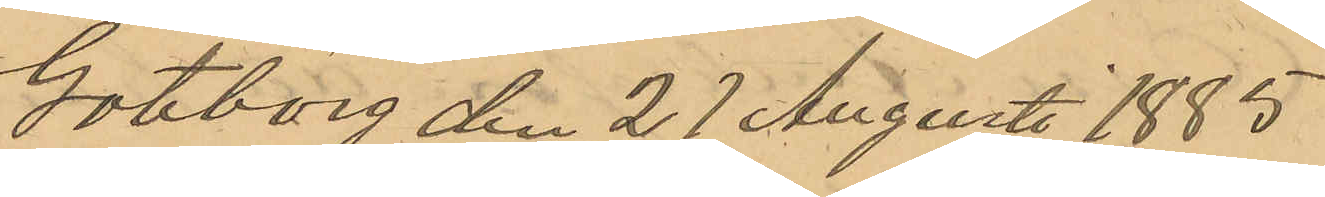Göteborg den 27 Augusti 1885.
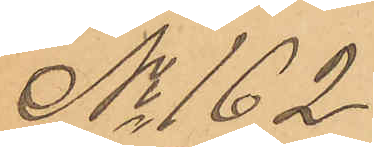No 162
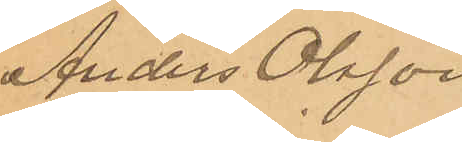Anders Olsson
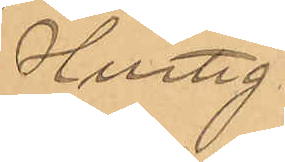Hurtig
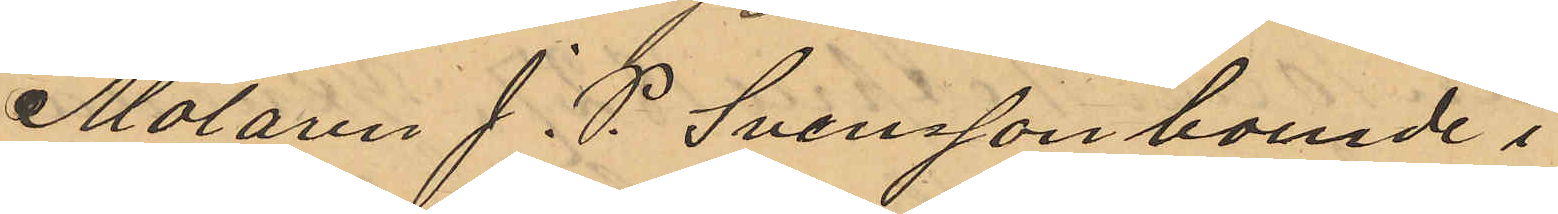Målaren J. P. Svensson boende i
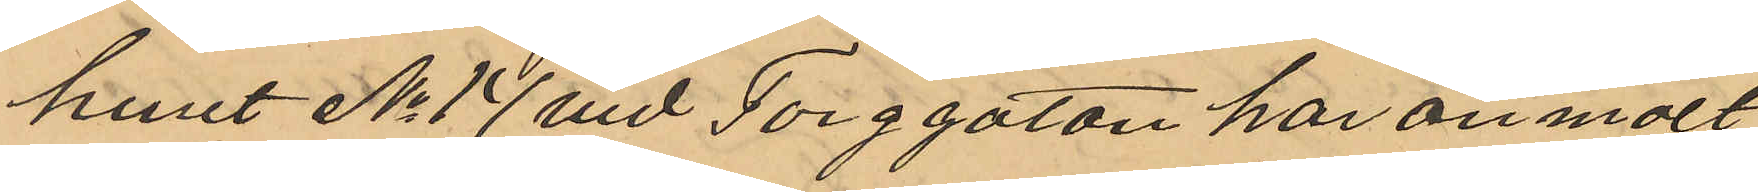huset No 17 vid Torggatan har anmält
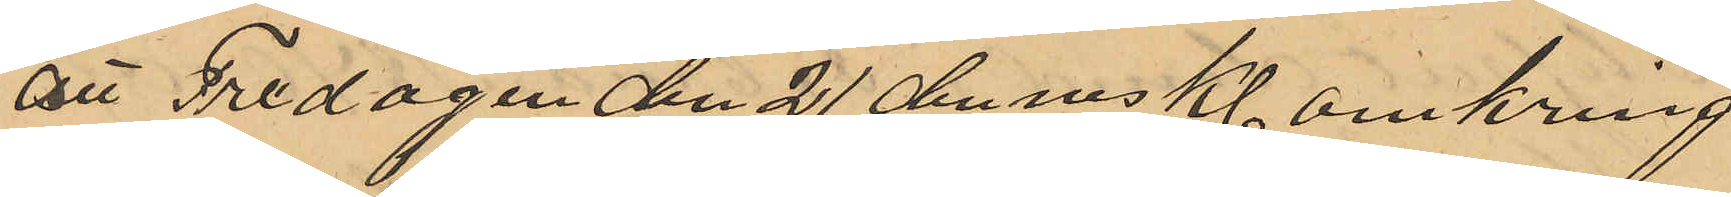att Fredagen den 21 dennes Kl omkring
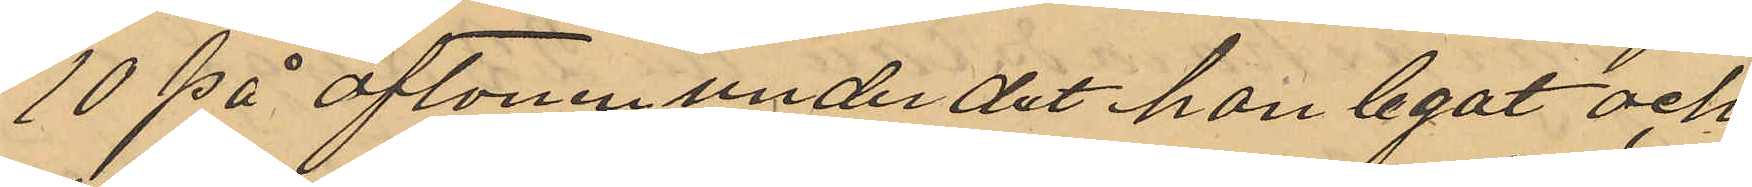10 på aftonen under det han legat och
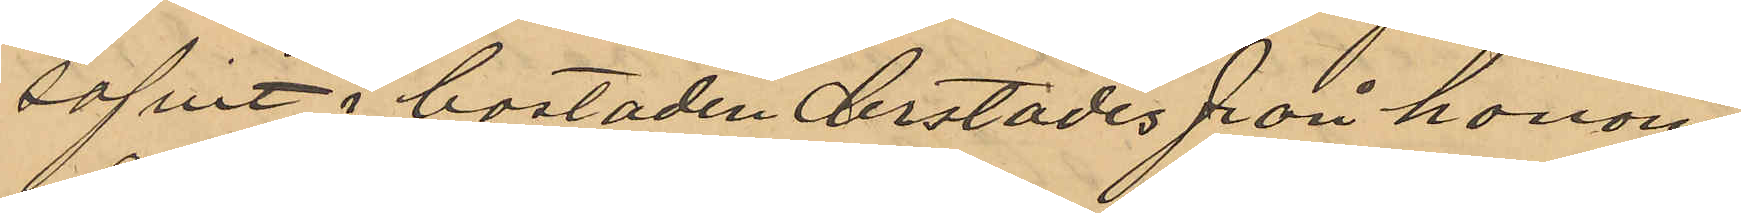sofvit i bostaden derstädes från honom
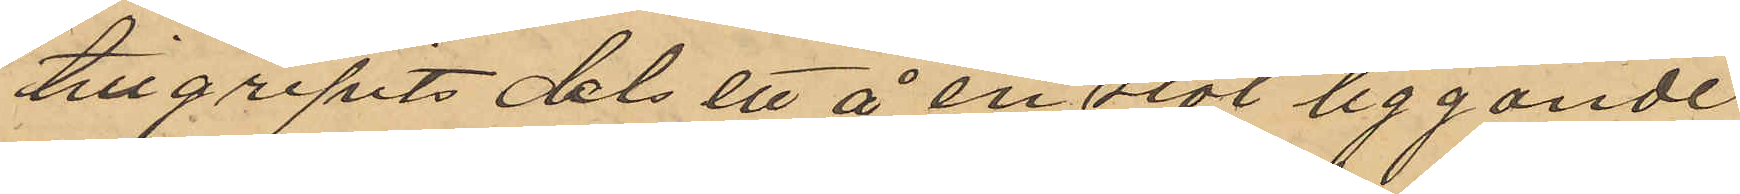tillgripits dels ett å en stol liggande
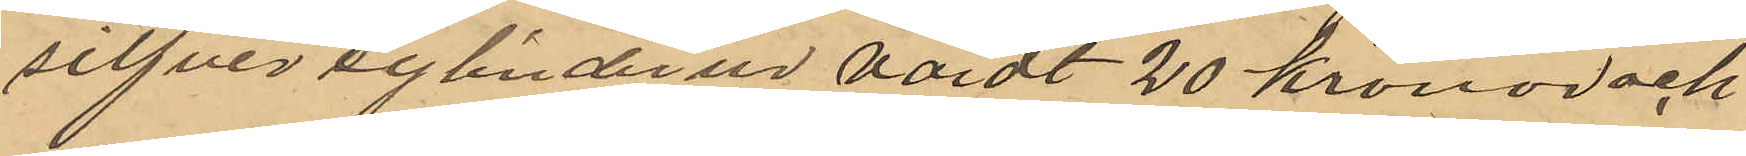silfvercylinderur värdt 20 kronor och
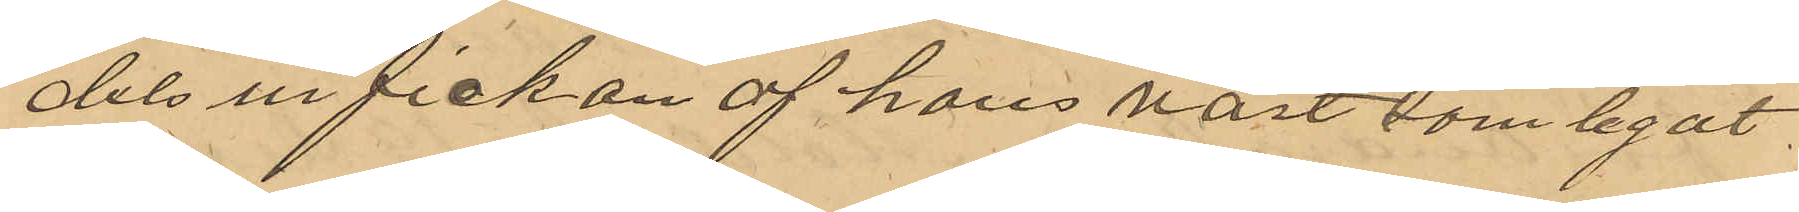dels ur fickan af hans väst som legat 
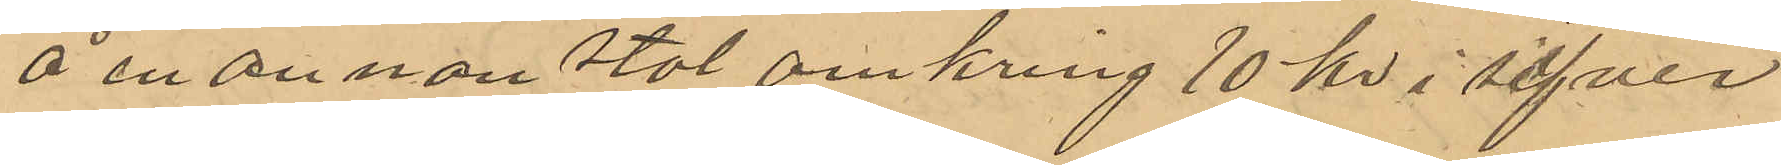å en annan stol omkring 10 kr i silfver
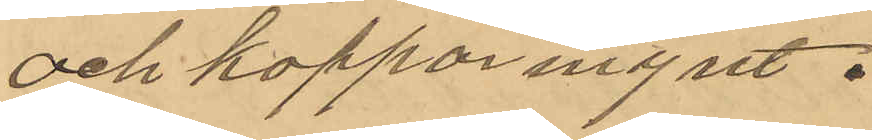och kopparmynt.
